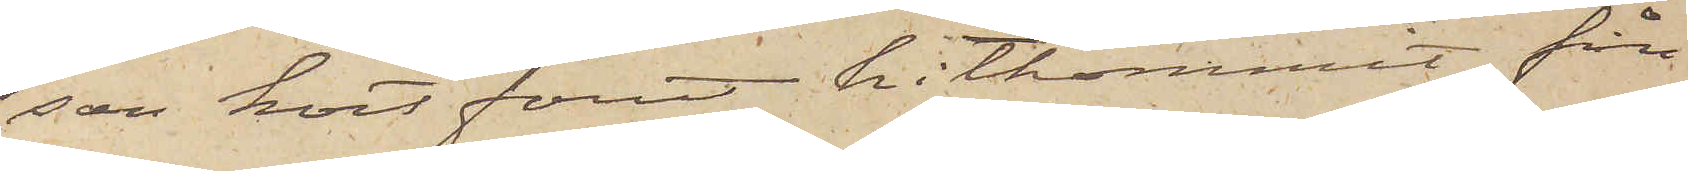son kort förut hitkommit från
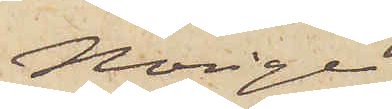Norige.
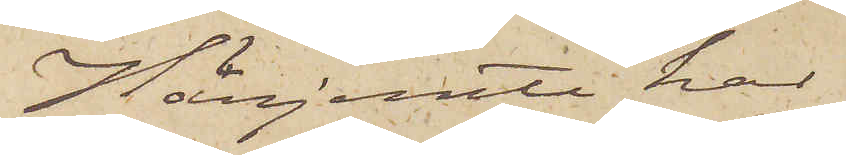Härjemte har
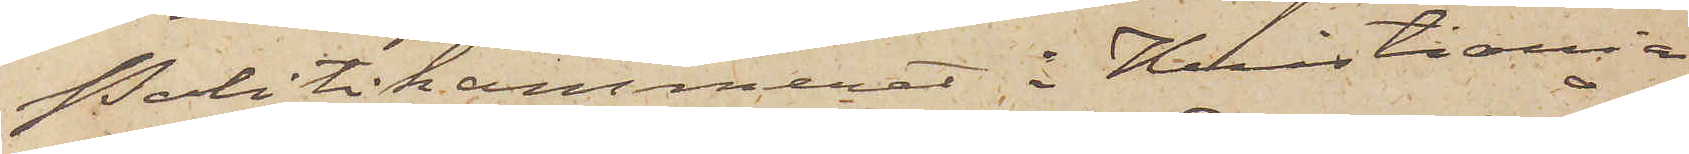Politikammeret i Kristiania
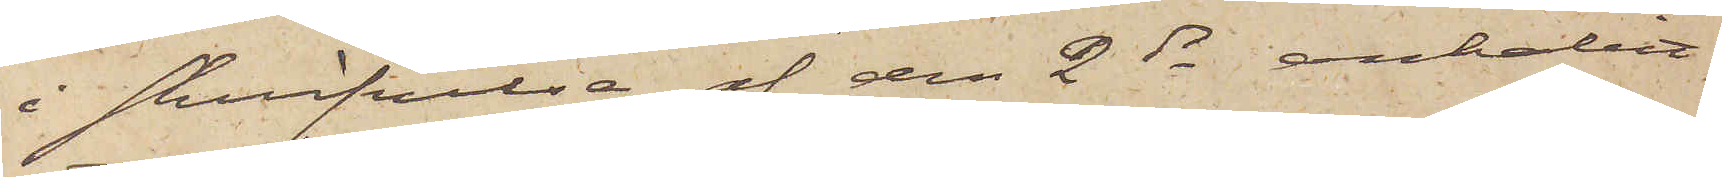i skrifvelse af den 2 ds anhållit,
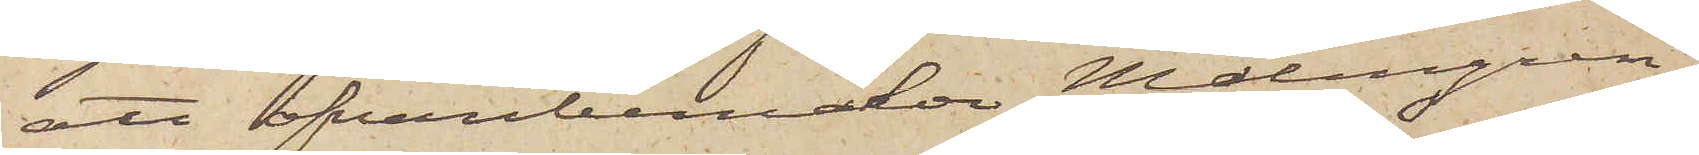att ofvanbemälde Malmgren,
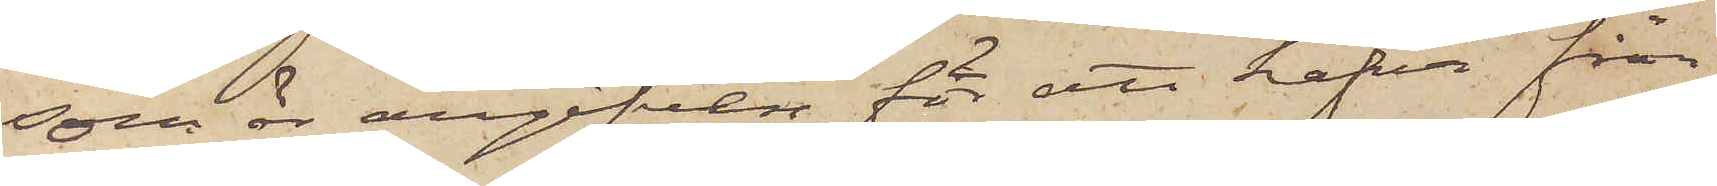som är angifven för att hafva från
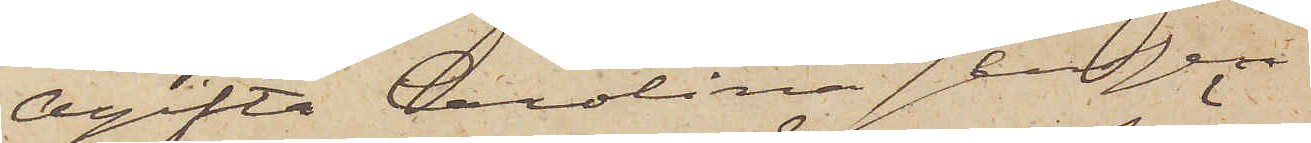Ogifta Carolina Jensen
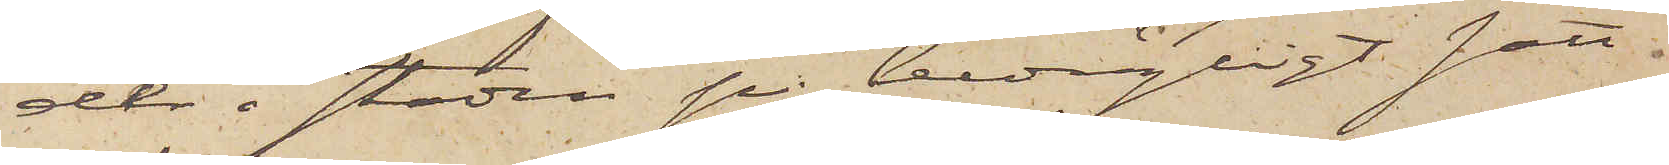der i staden på bedrägligt sätt
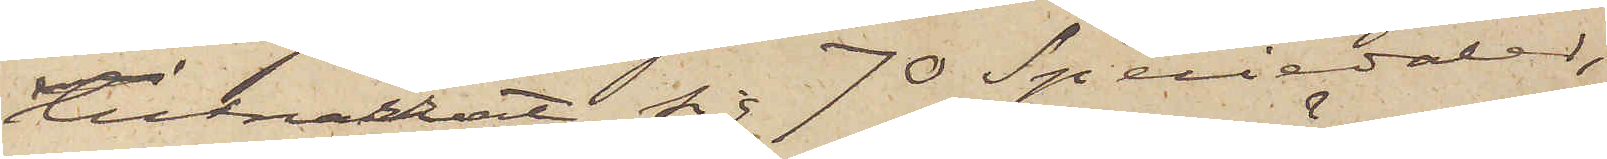tillnarrat sig 70 Speciedaler,
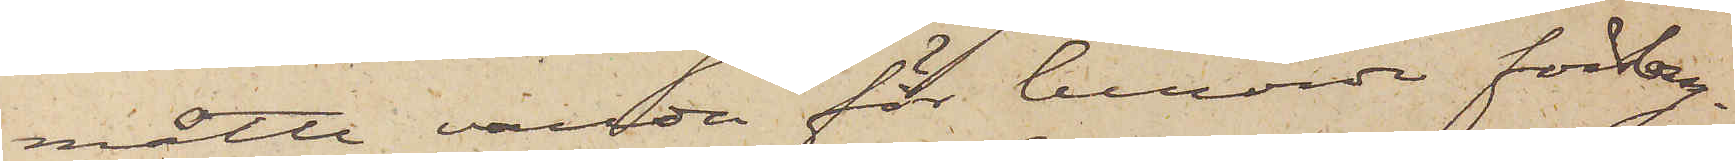måtte varda för berörde förbry¬
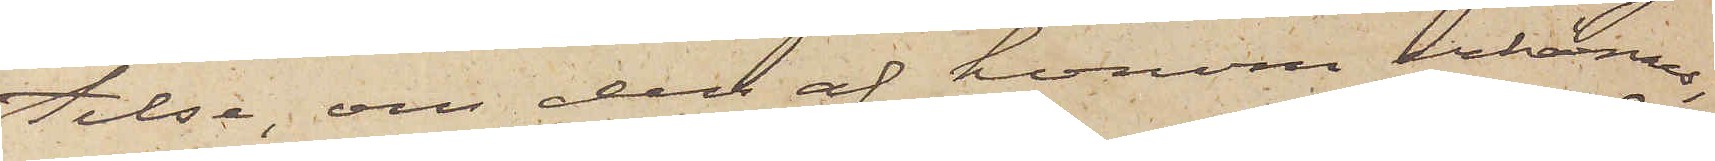telse, om den af honom erkännes,
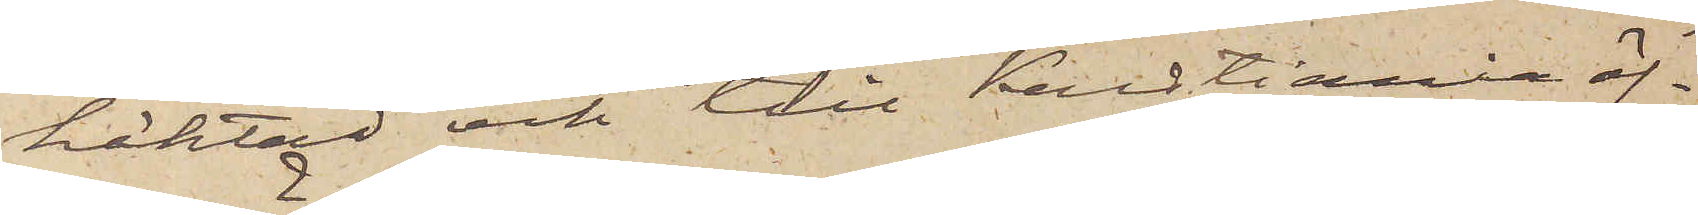häktad och till Kristiania öf¬
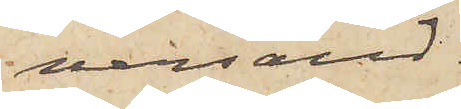versänd.
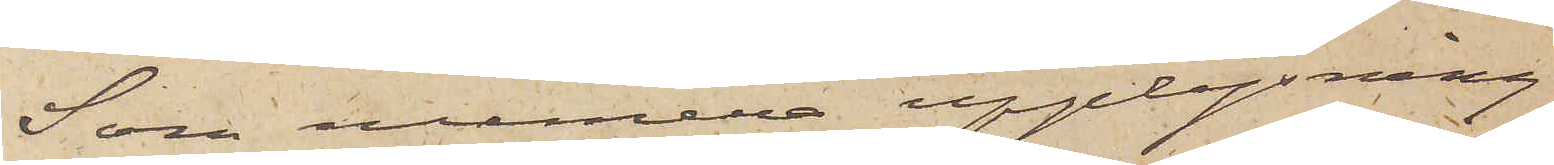Som numera upplysning
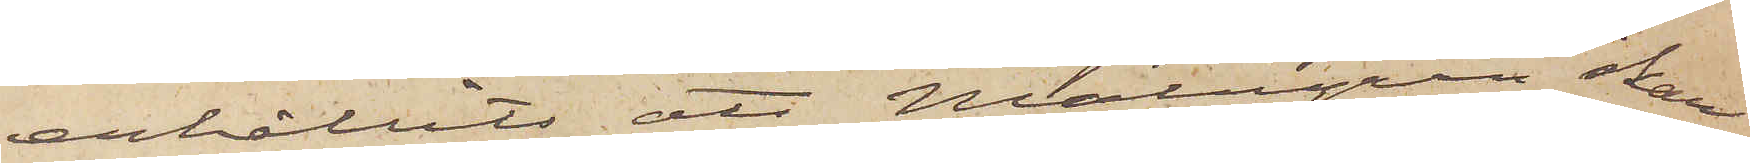erhållits, att Malmgren skall
